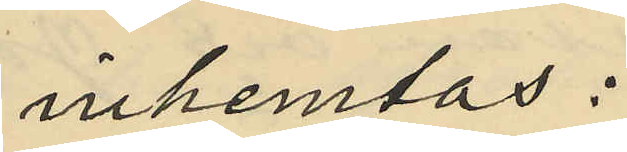inhemtas:
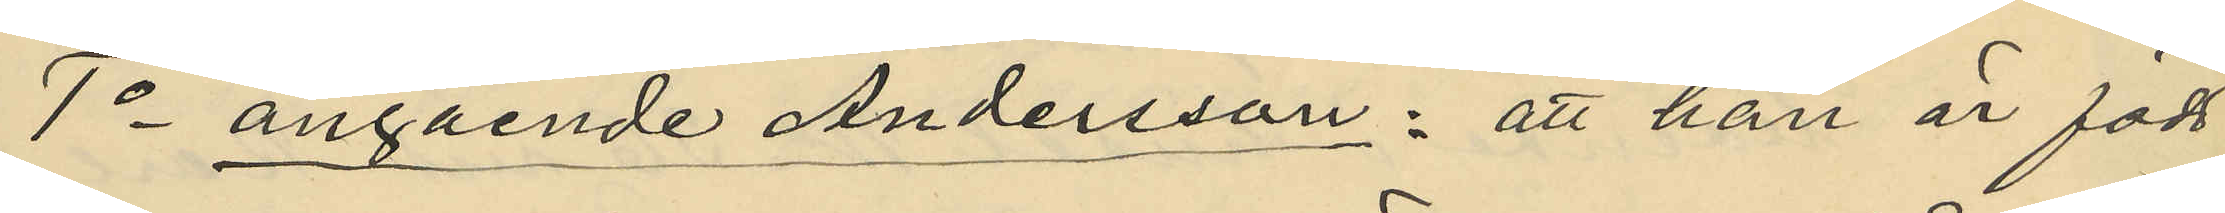1o angående Andersson: att han är född
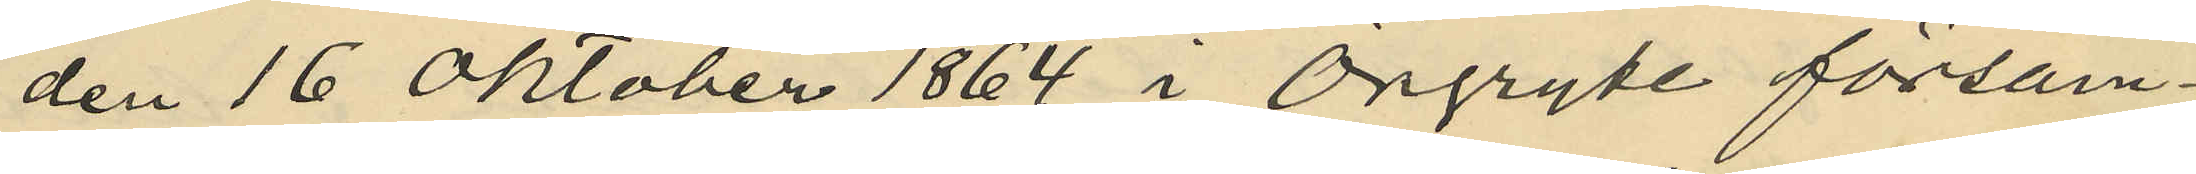den 16 Oktober 1864 i Örgryte försam¬
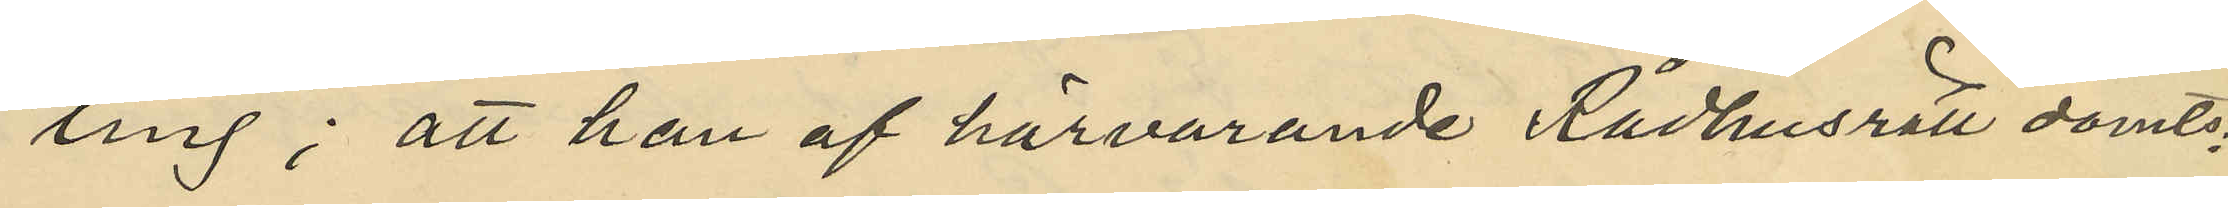ling; att han af härvarande Rådhusrätt dömts:
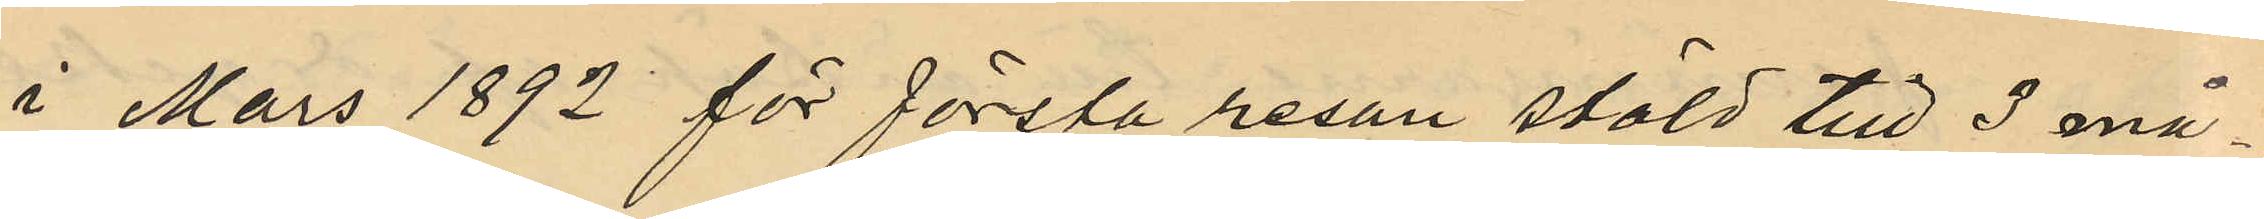i Mars 1892 för första resan stöld till 3 må¬
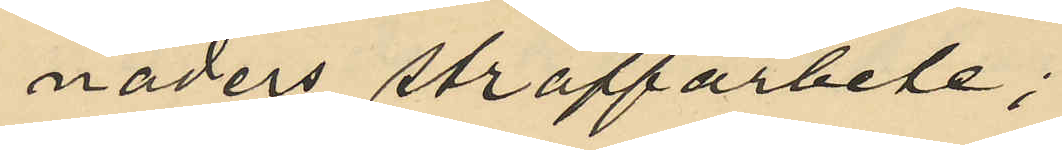naders straffarbete;
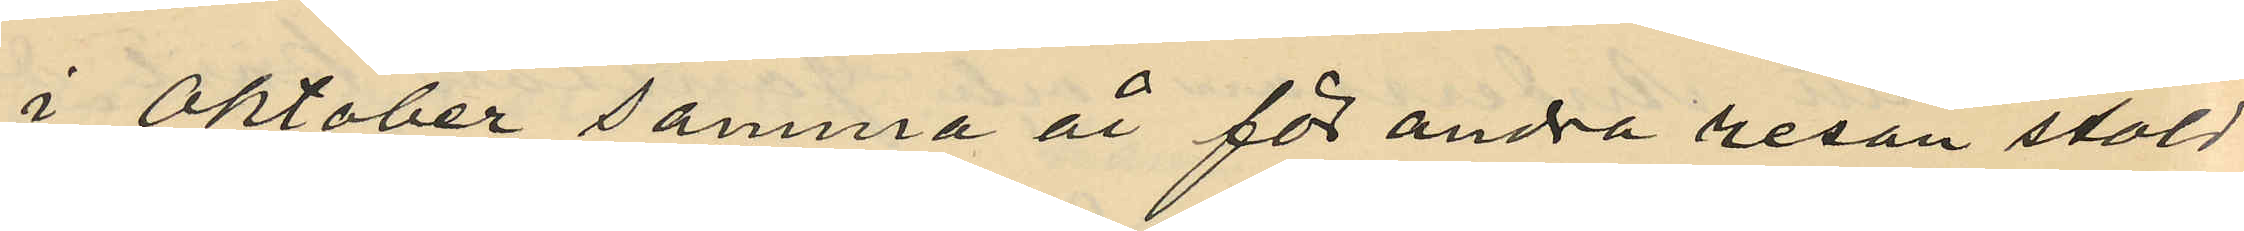i Oktober samma år för andra resan stöld
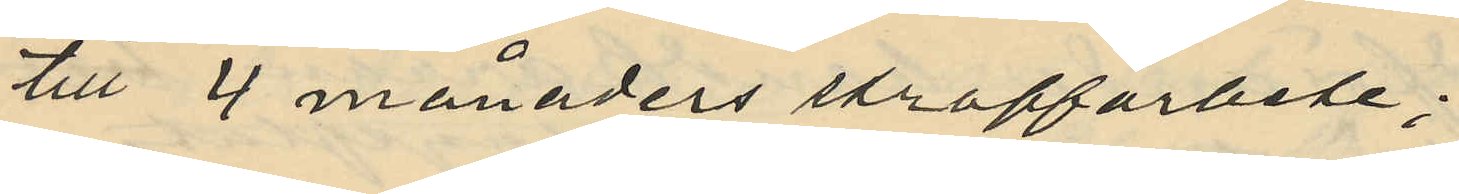till 4 månaders straffarbete;
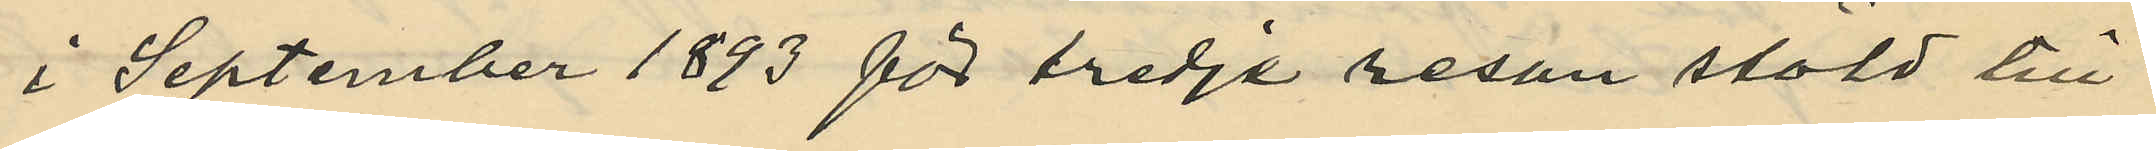i September 1893 för tredja resan stöld till
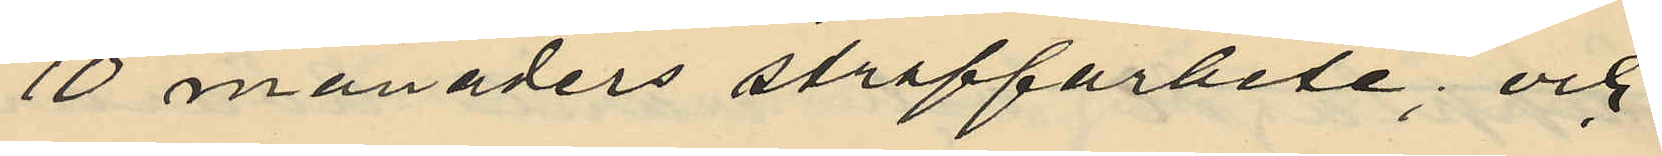10 månaders straffarbete; och
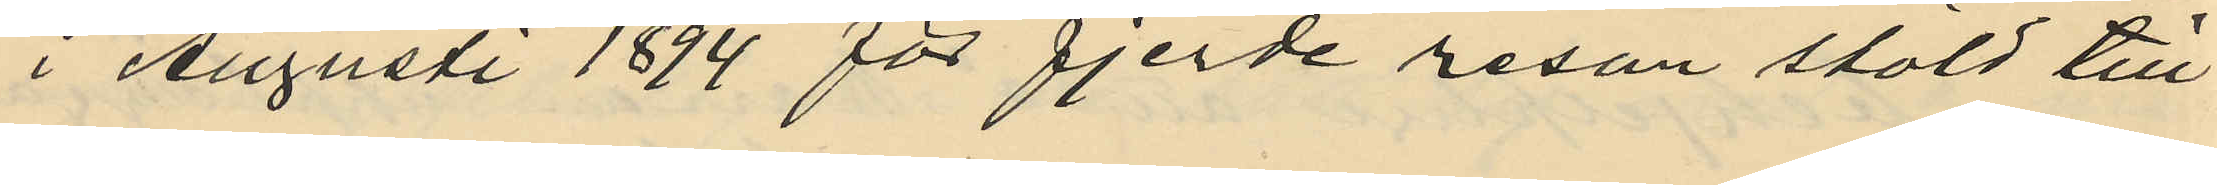i Augusti 1894 för fjerde resan stöld till
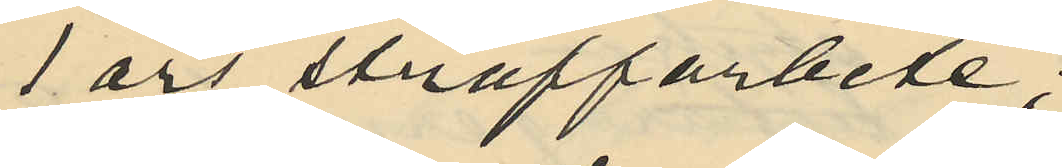1 års straffarbete;
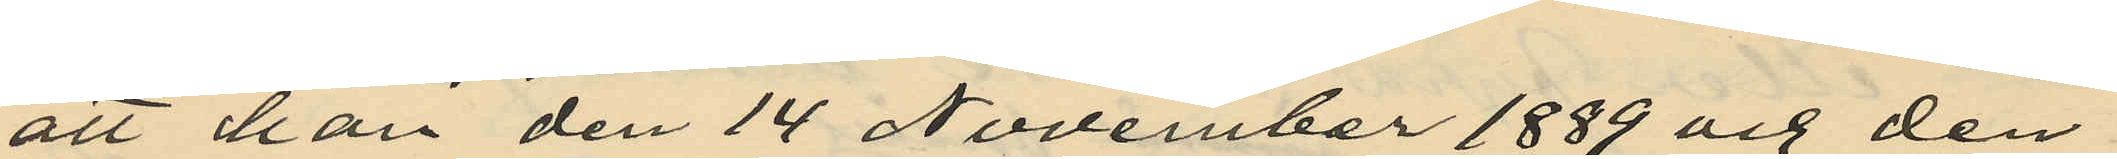att han den 14 November 1889 och den
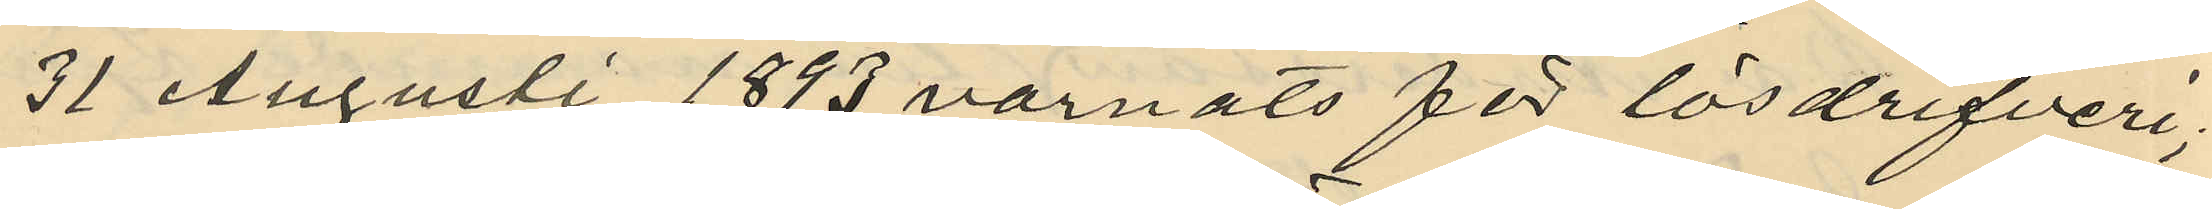31 Augusti 1893 varnats för lösdrifveri;
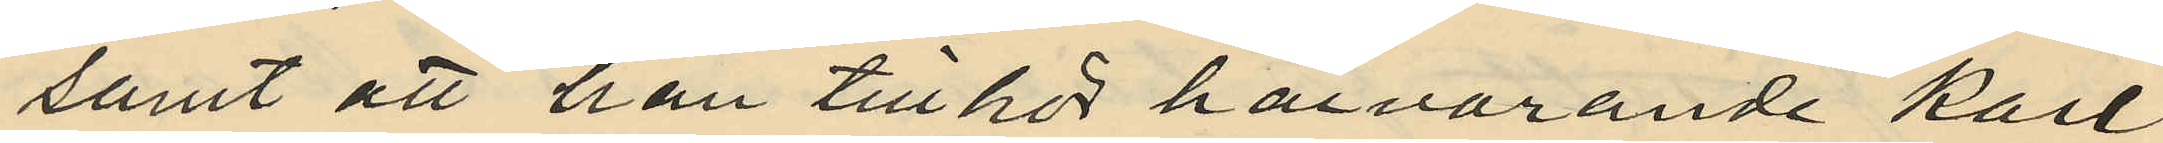samt att han tillhör härvarande Karl
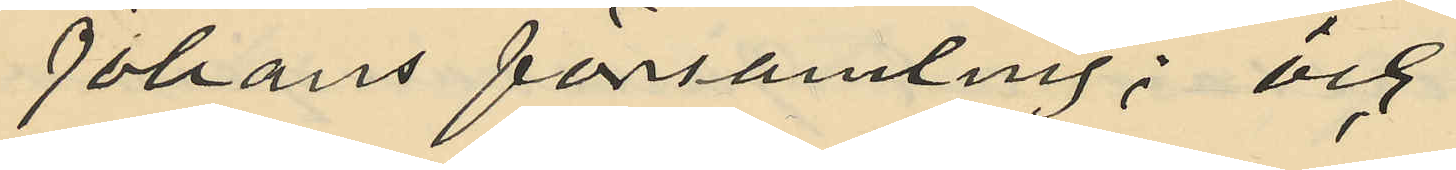Johans församling; och
